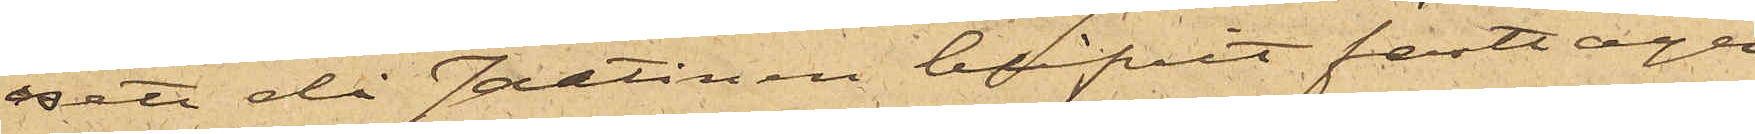sett då Jantinen blifvit fasttagen
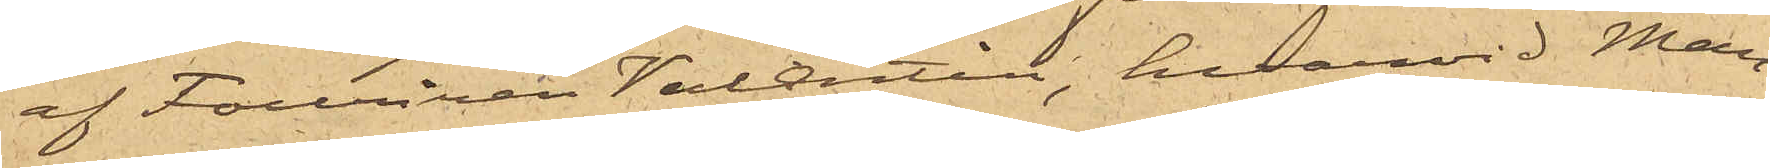af Furiren Valentin, hvarvid Mam¬
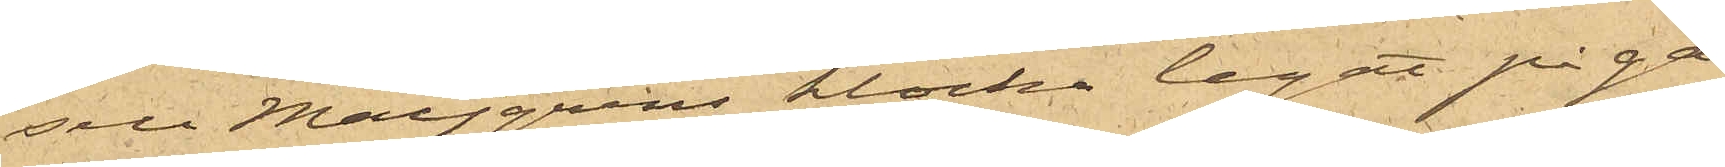sell Maijgrens klocka legat på ga¬
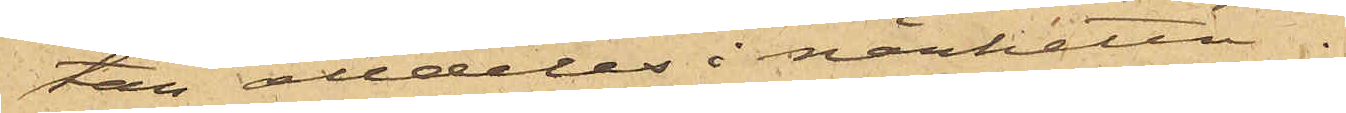tan alldeles i närheten.
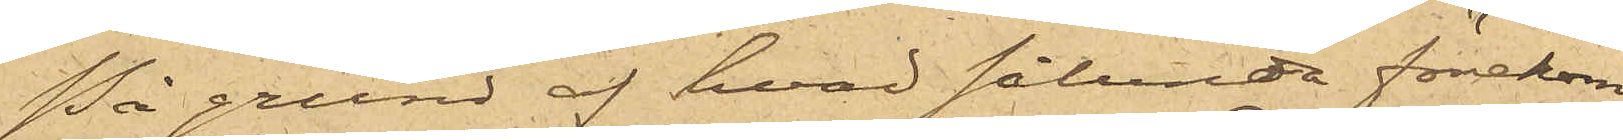På grund af hvad sålunda förekom¬
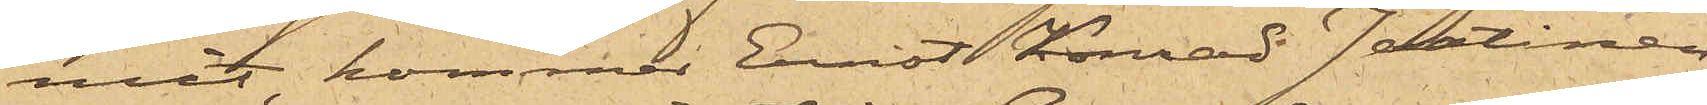mit, kommer Ernst Konrad Jantinen,
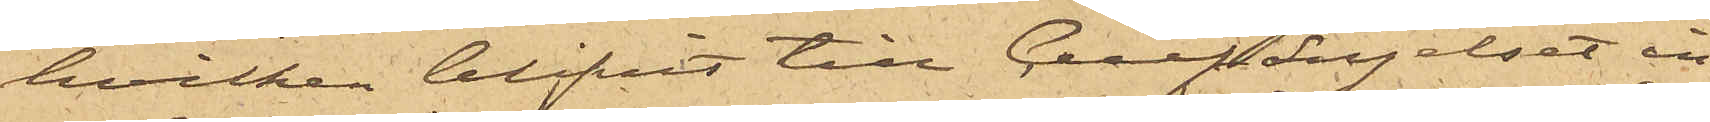hvilken blifvit till Cellfängelset in¬
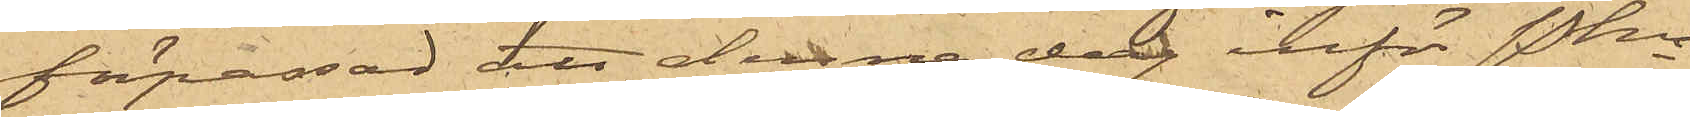förpassad, att denna dag inför Pkn
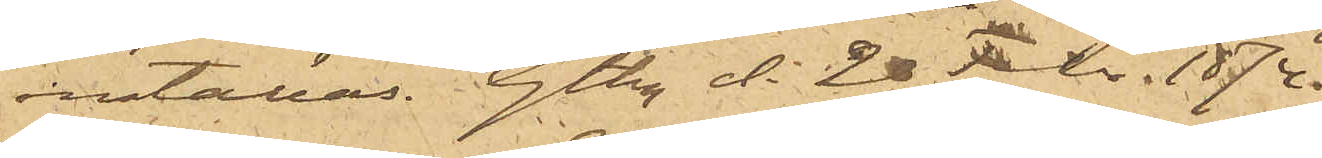inställas. Gtbg d. 20 Febr. 1874.
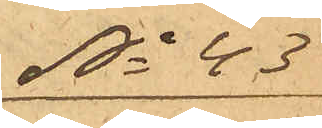No 43
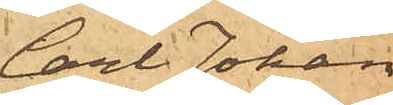Carl Johan
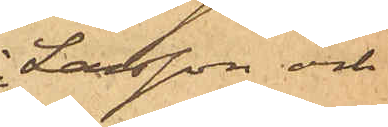Larsson och
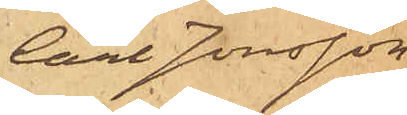Carl Jonsson
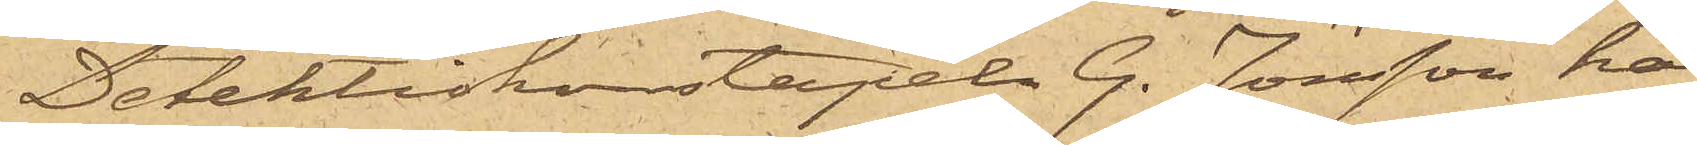Detektivkonstapel G. Jönsson, har
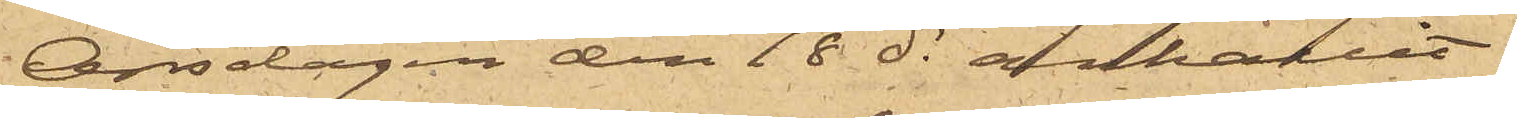Onsdagen den 18 ds anhållit
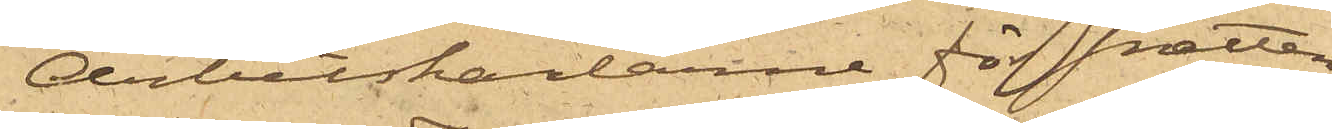Arbetskarlarne för snatteri
